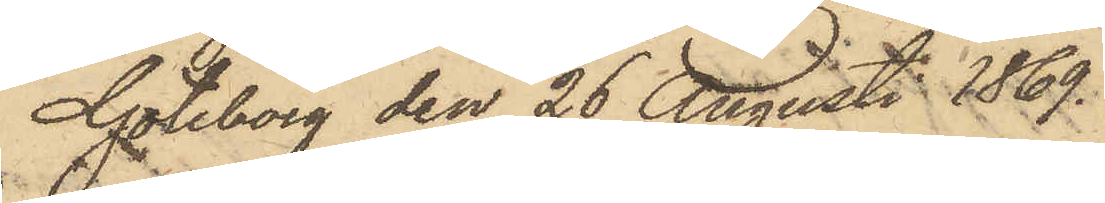Göteborg den 26 Augusti 1869.
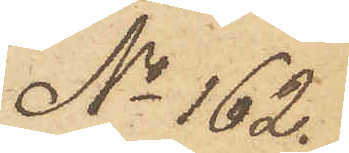No 162.
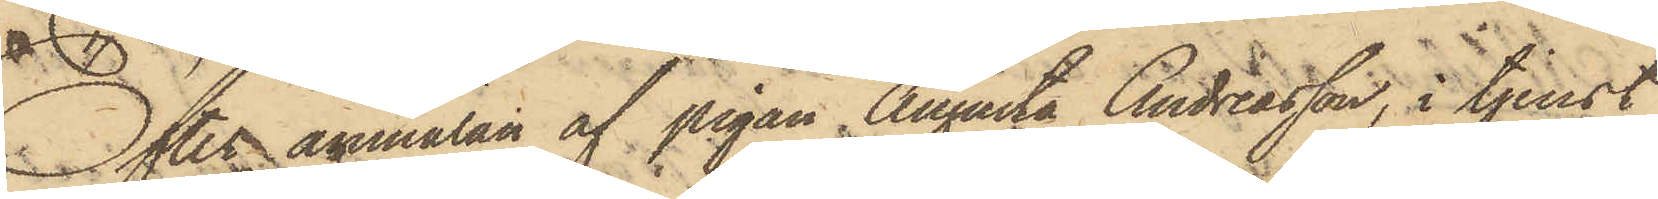Efter anmälan af pigan Augusta Andreasson, i tjenst
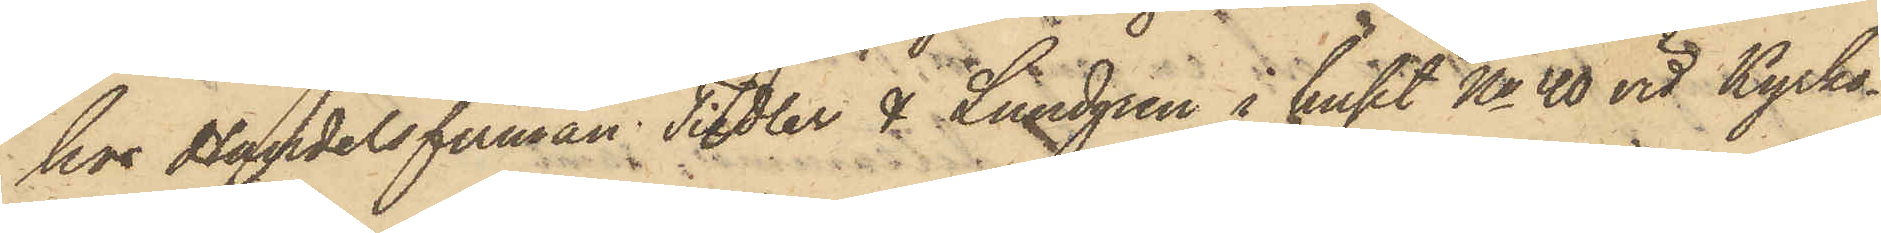hos Handelsfirman Tiedler & Lundgren i huset No 40 vid Kyrko¬
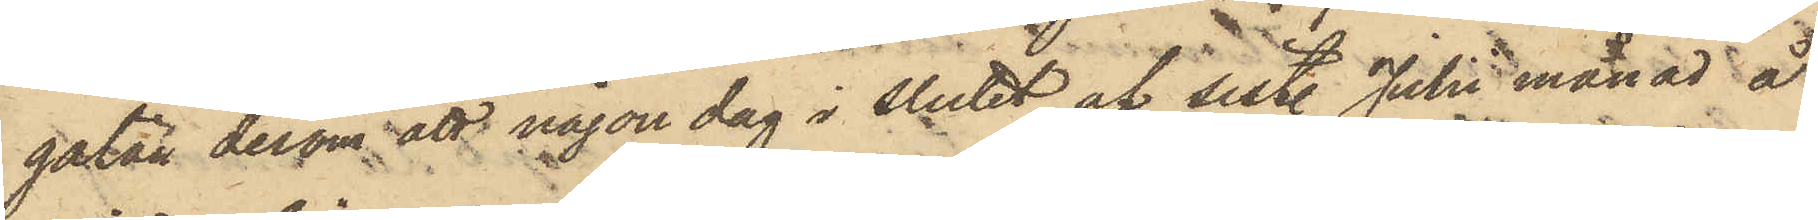gatan derom att någon dag i slutet af sistl. Julii månad å
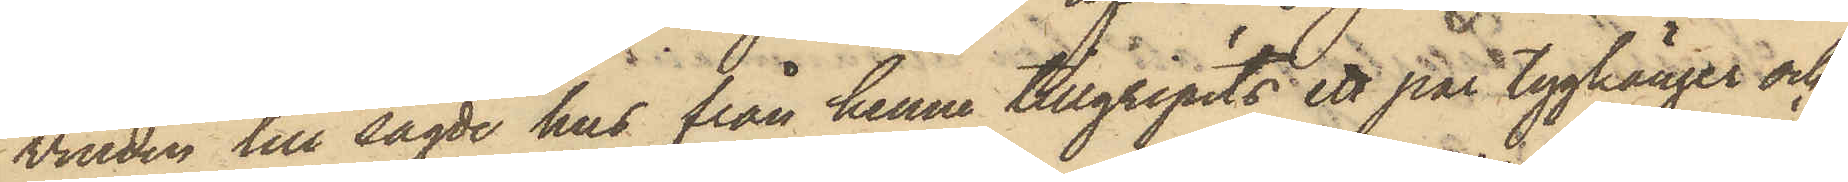vinden till sagde hus från henne tillgripits ett par tygkänger och
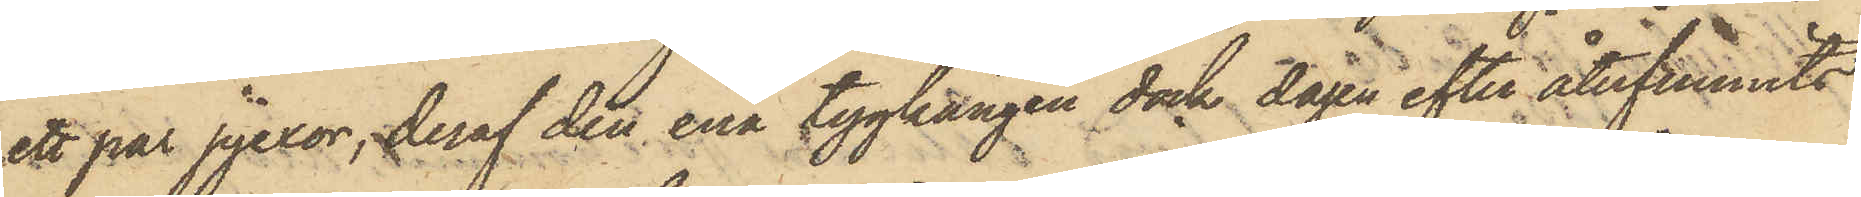ett par pjexor, deraf den ena tygkängen dock dagen efter återfunnits
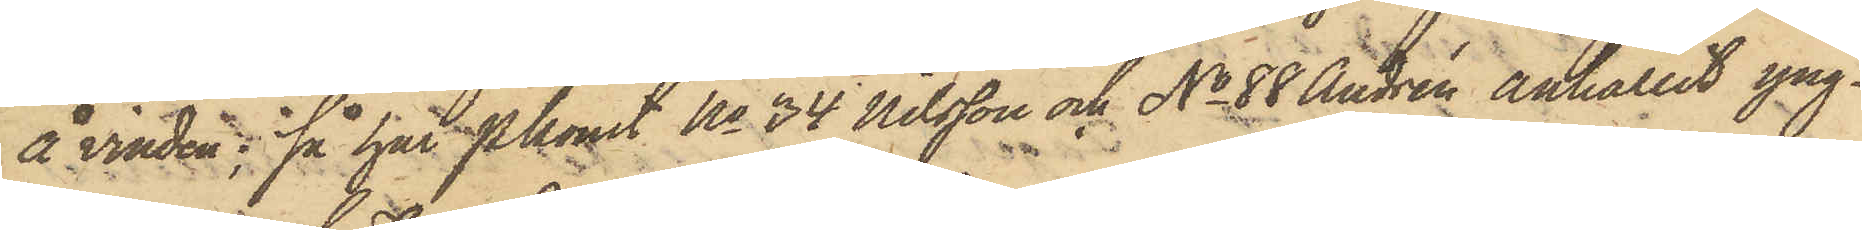å vinden; så har Pkonst No 34 Nilsson och No 88 Andrén anhållit yng¬
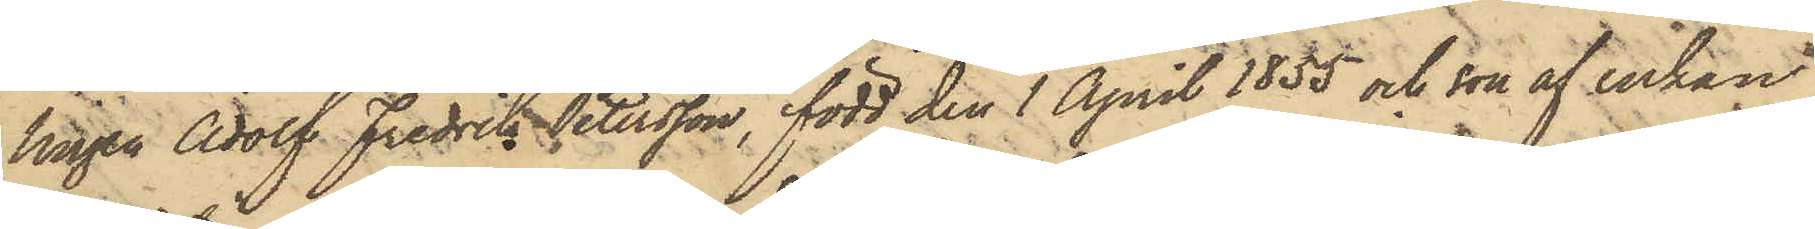lingen Adolf Fredrik Petersson, född den 1 April 1855 och son af enkan
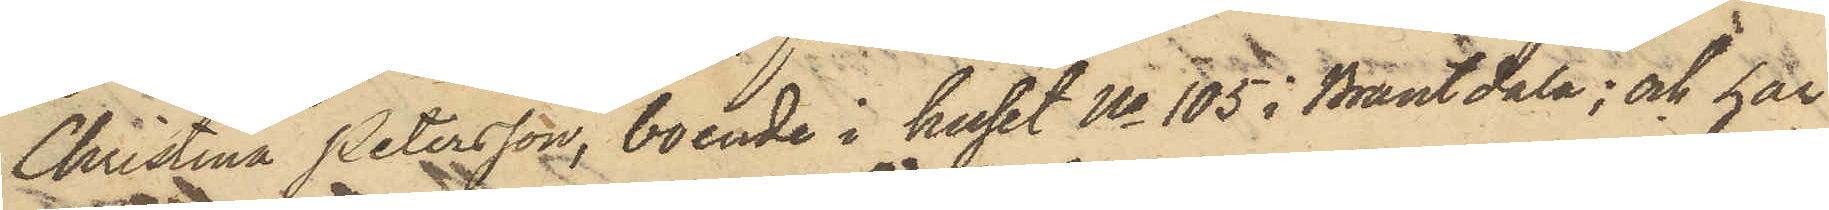Christina Petersson, boende i huset No 105 i Brantdala; och har
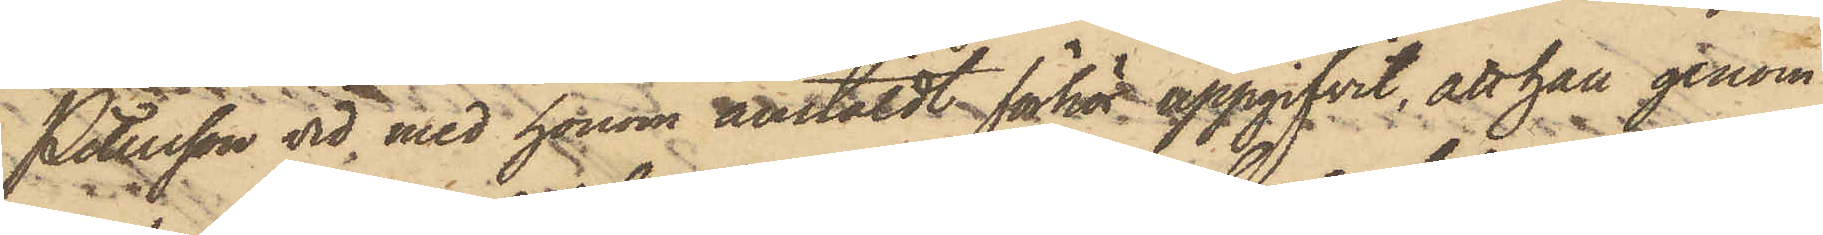Petersson vid med honom anstäldt förhör uppgifvit, att han genom
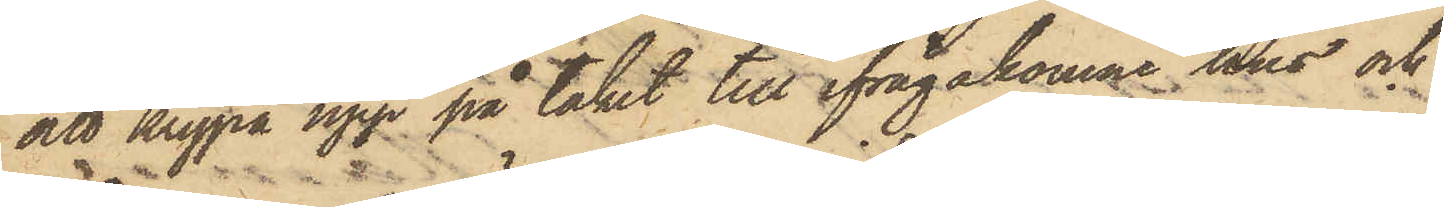att krypa upp på taket till ifrågakomne hus och
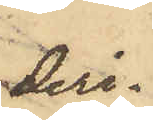deri¬
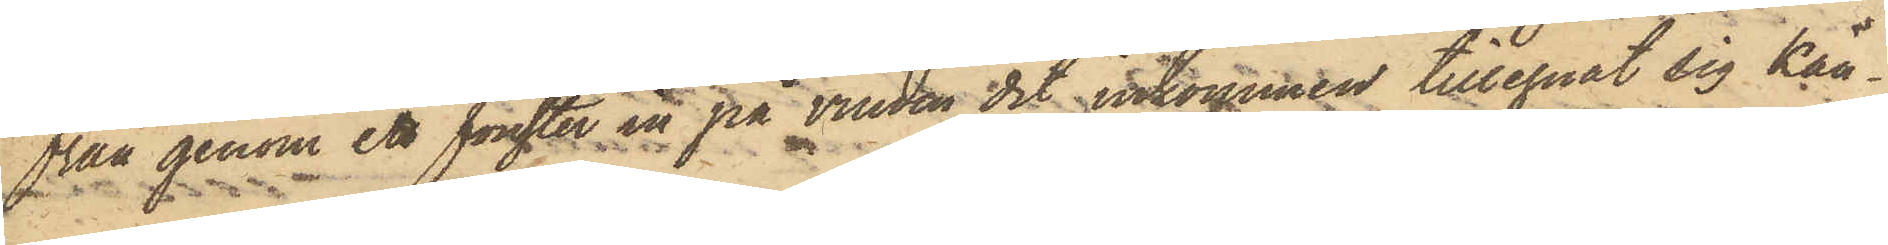från genom ett fönster in på vinden dit inkommen tillegnat sig kän¬
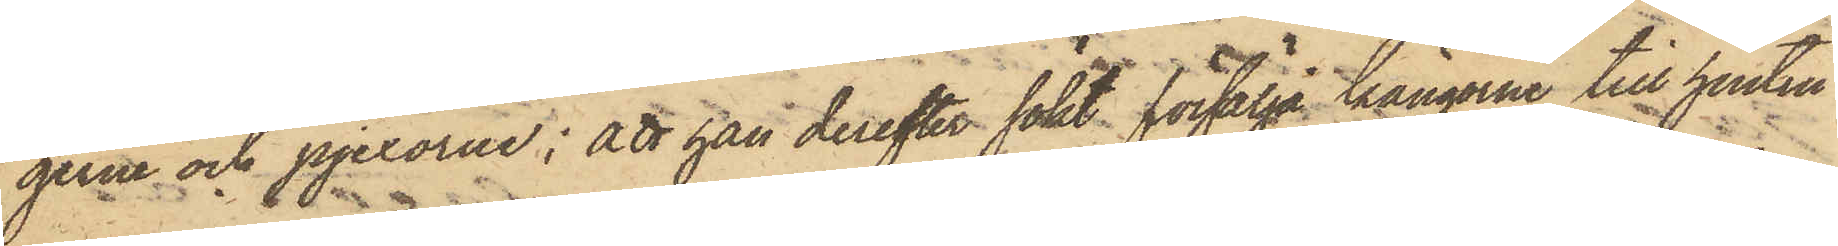gerne och pjexorne; att han derefter sökt försälja kängorne till hustru
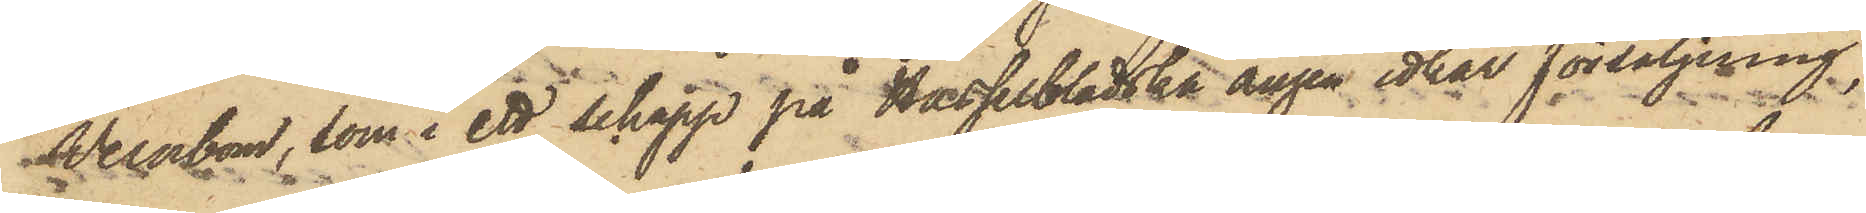Wernbom, som i ett Schapp på Hasselbladska ängen idkar försäljning,
